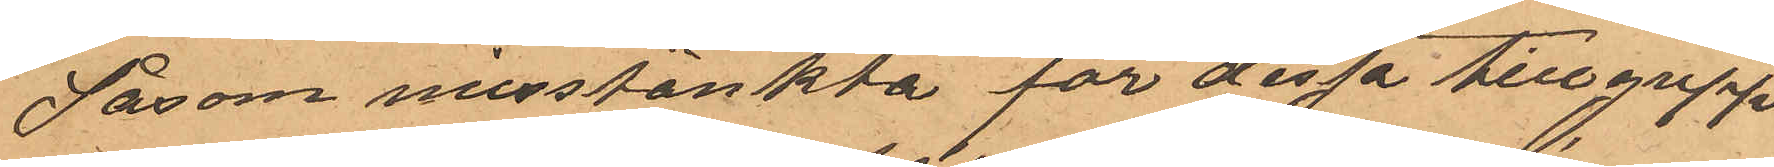Såsom misstänkte för dessa tillgrepp
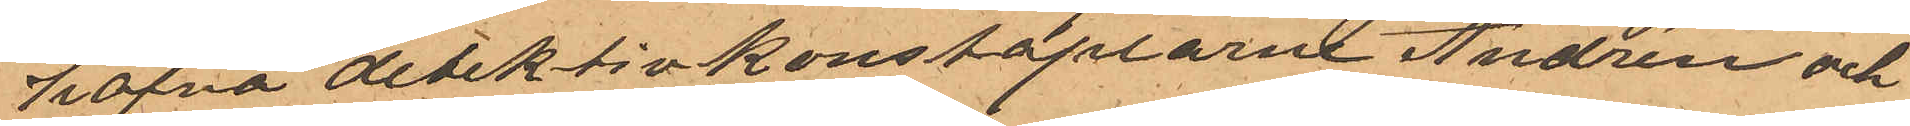hafva detektivkonstaplarne Andrén och
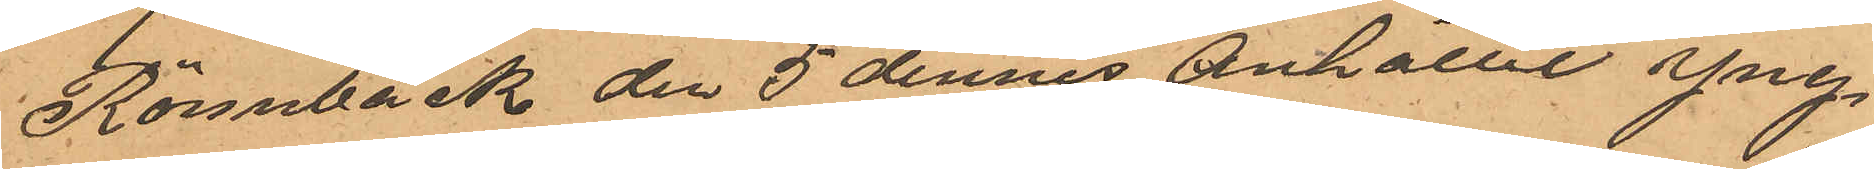Rönnbäck  den 5 dennes Anhållit Yng¬
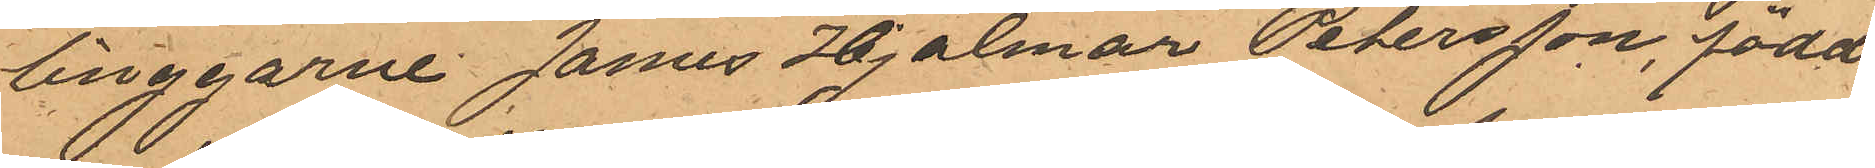tillggarne James Hjalmar Petersson, född
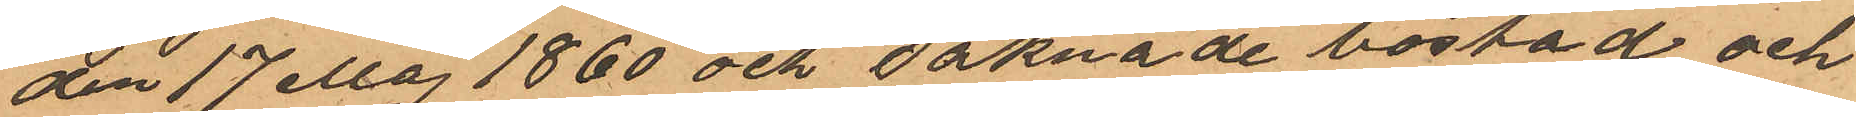den 17 Maj 1860 och saknade bostad och
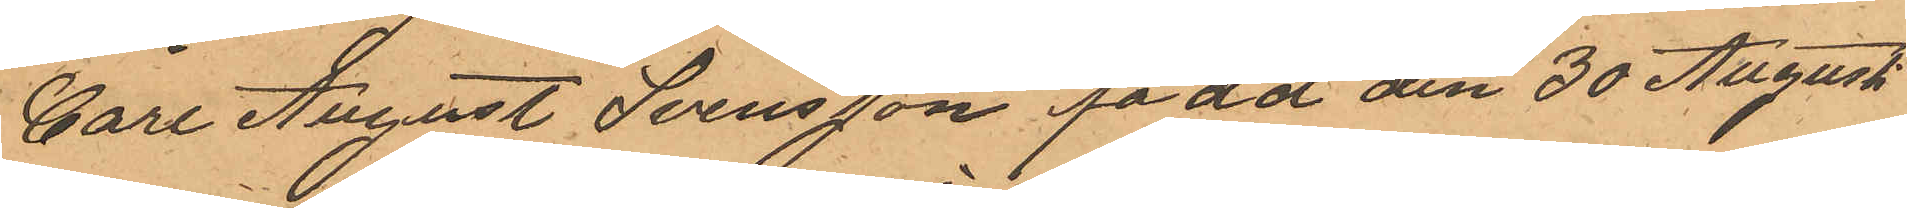Carl August Svensson född den 30 Augusti
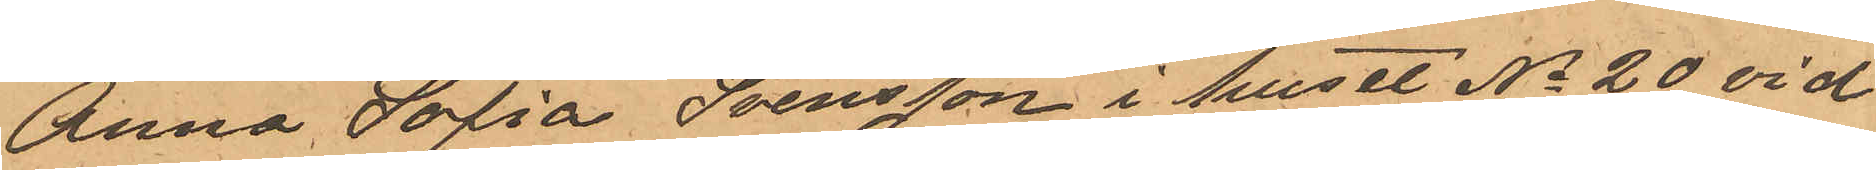Anna Solia Svensson i huset No 20 vid
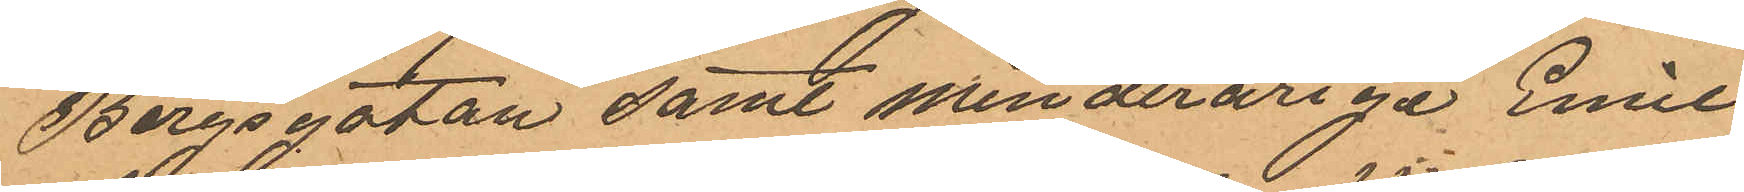Bergsgatan samt minderårige Emil
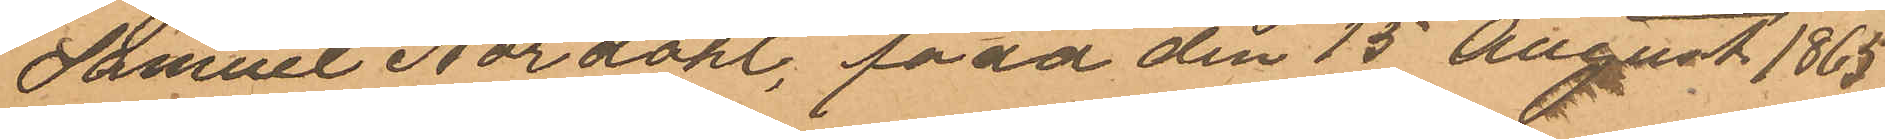Samuel Nordahl, född den 15 August 1865
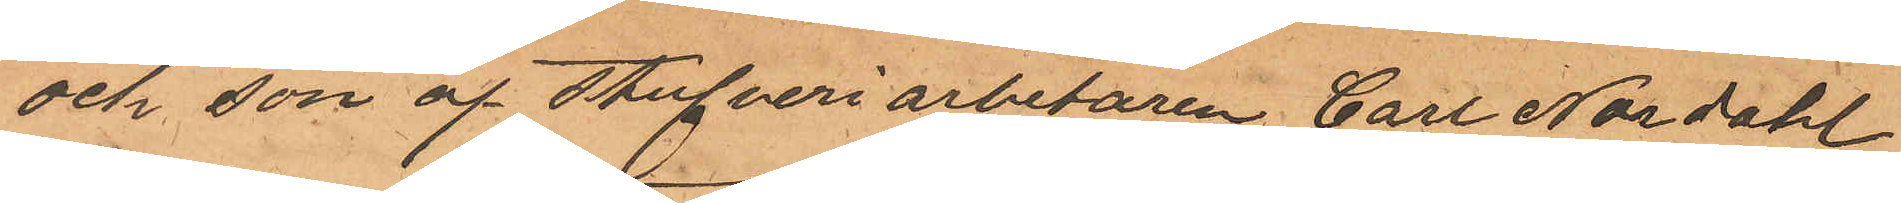och son af Stufveriarbetaren Carl Nordahl
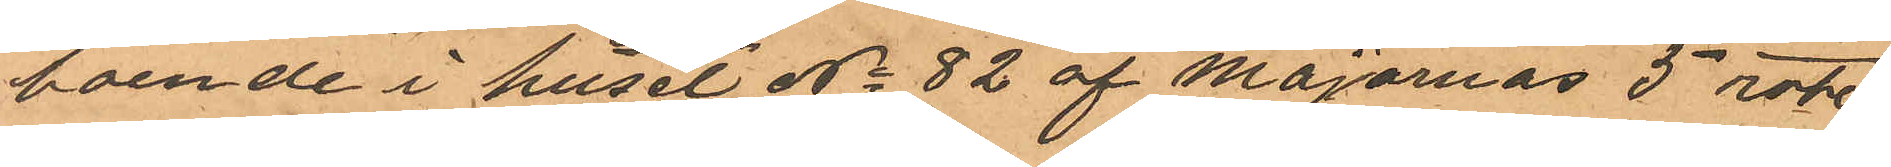boende i huset No 82 af Majornas 5 rote,
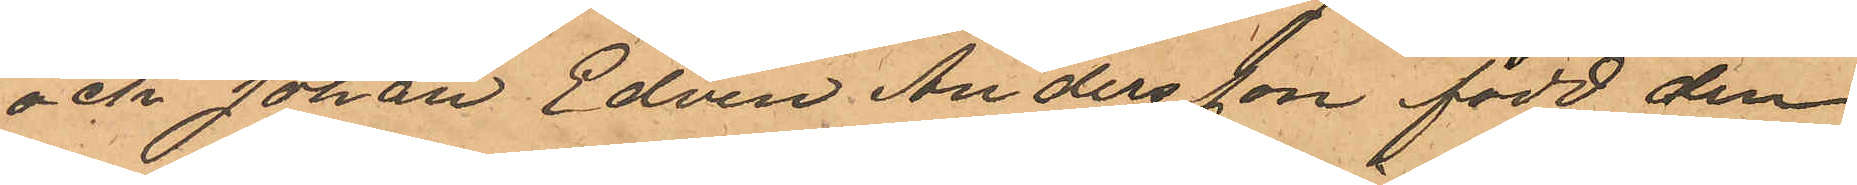och Johan Edvin Andersson, född den
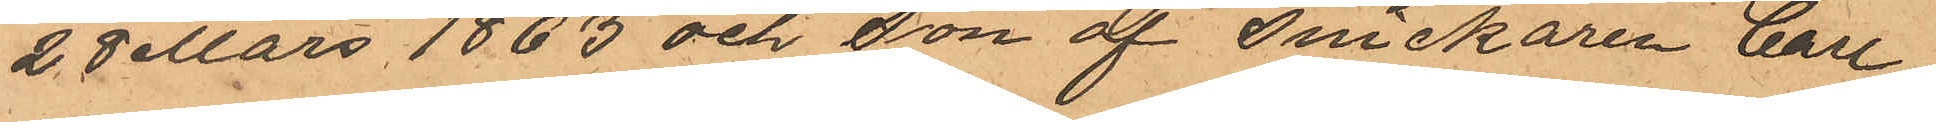28 Mars 1863 och son af Snickaren Carl
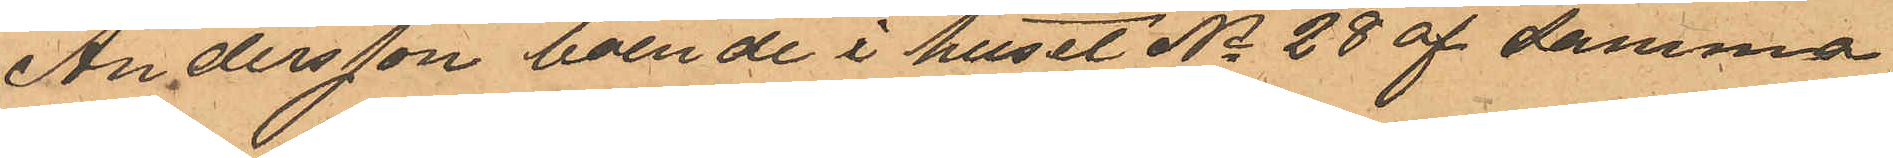Andersson boende i huset No 28 af samma
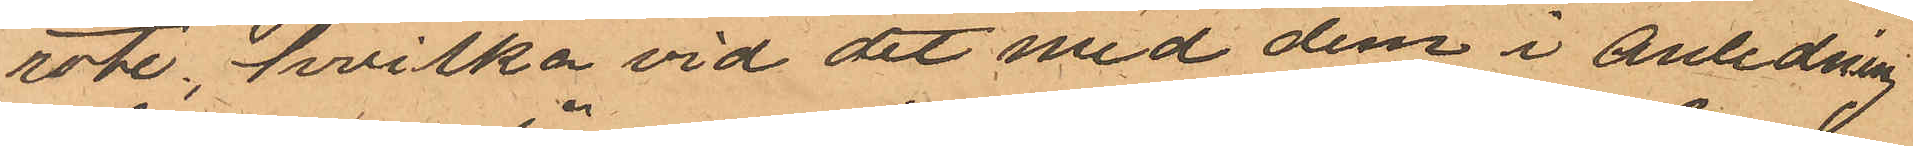rote, hvilka vid det med dem i anledning
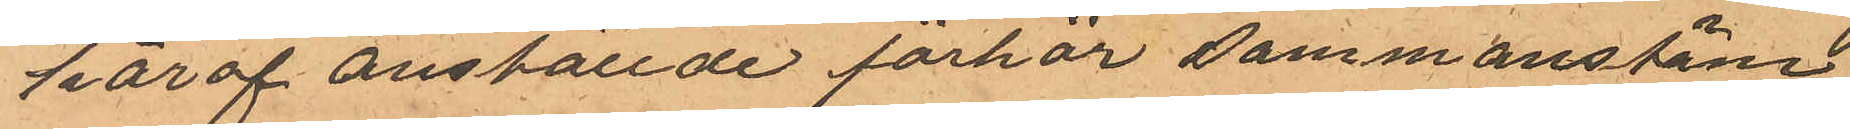häraf anställde förhör sammanstäm¬
